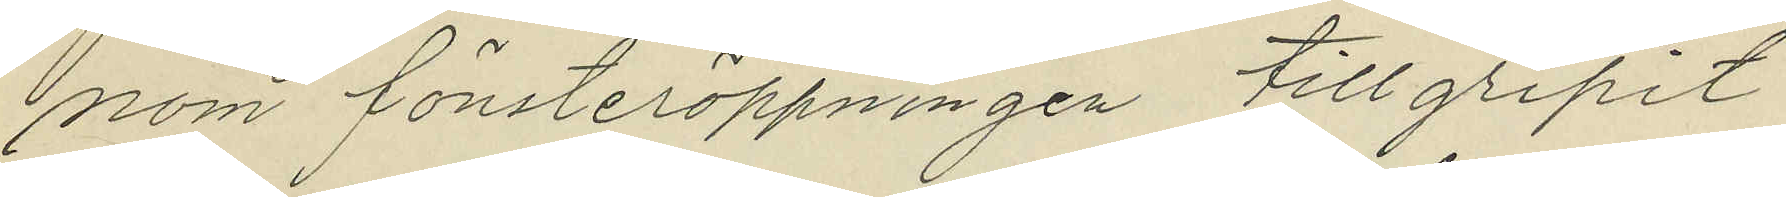nom fönsteröppningen tillgripit
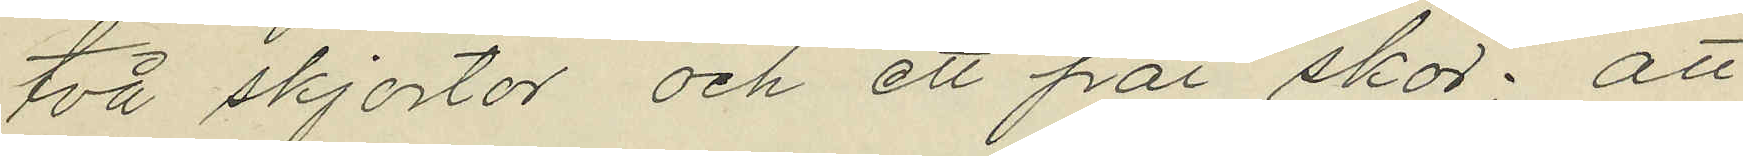två skjortor och ett par skor; att
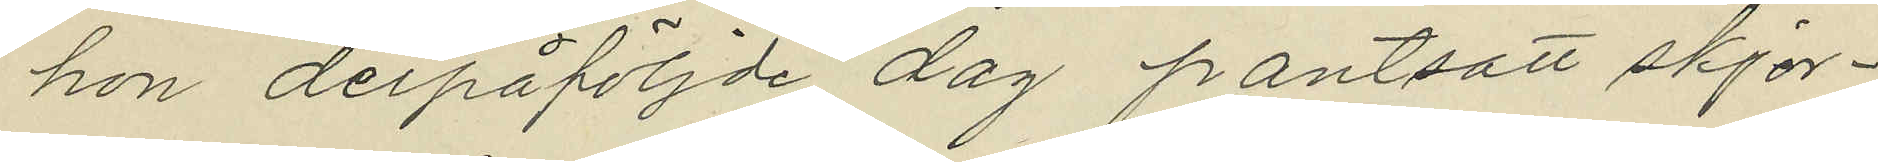hon derpåföljde dag pantsatt skjor¬
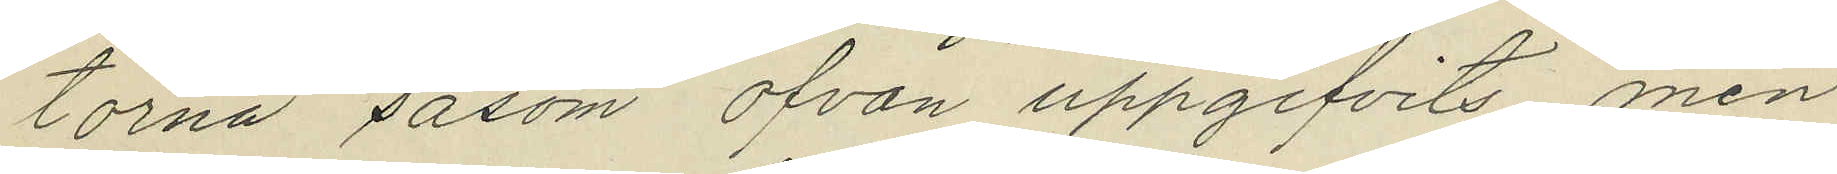torna såsom ofvan uppgifvits, men
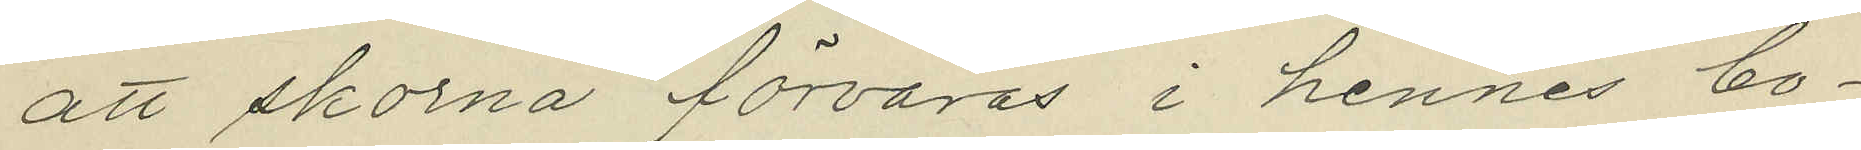att skorna förvaras i hennes bo¬
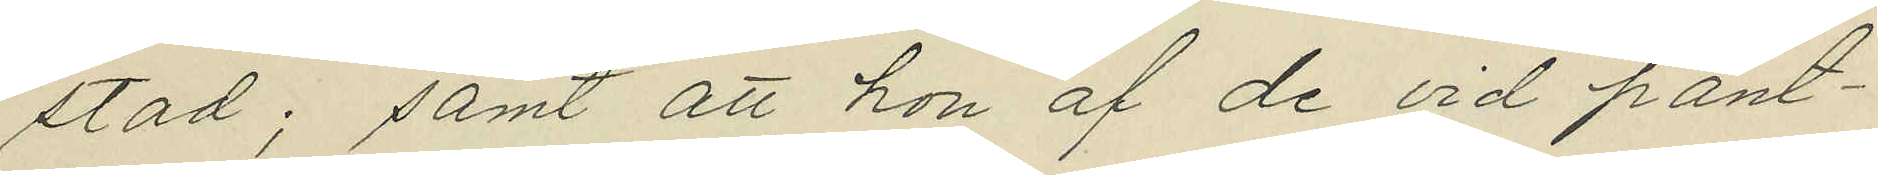stad; samt att hon af de vid pant¬
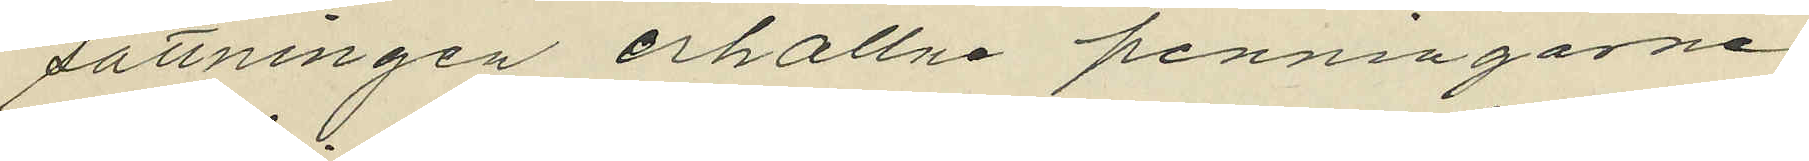sättningen erhållne penningarne
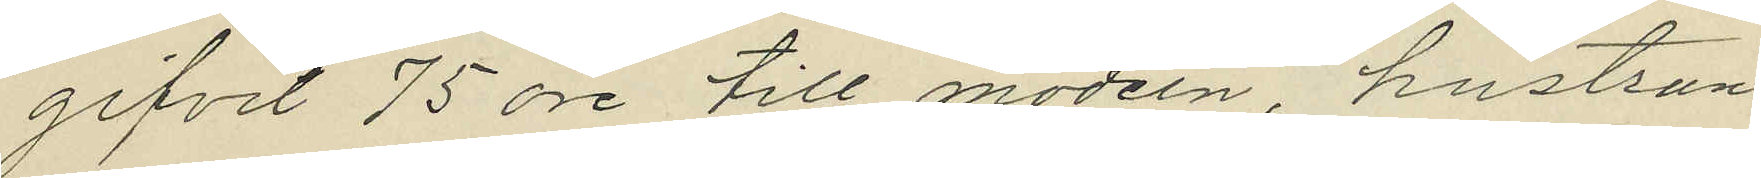gifvit 75 öre till modern hustrun
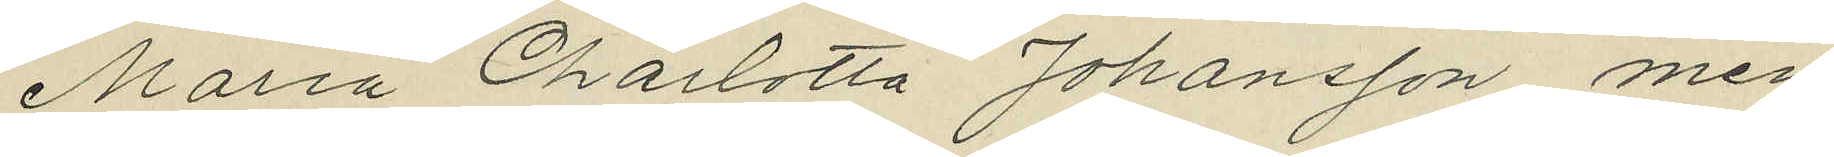Maria Charlotta Johansson, men
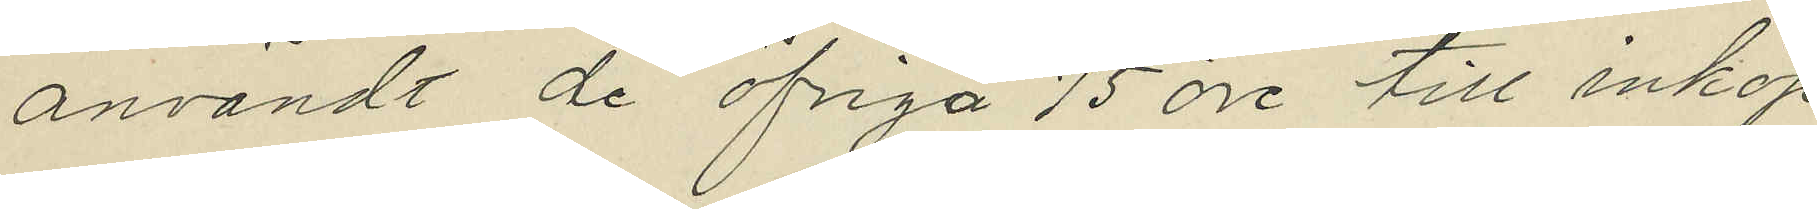användt de öfriga 75 öre till inköp
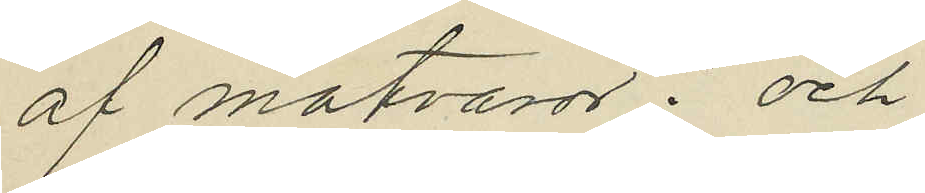af matvaror; och
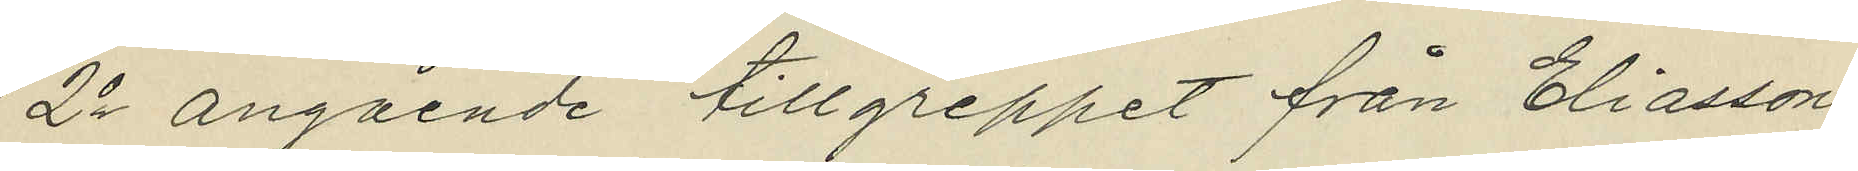2o angående tillgreppet från Eliasson:
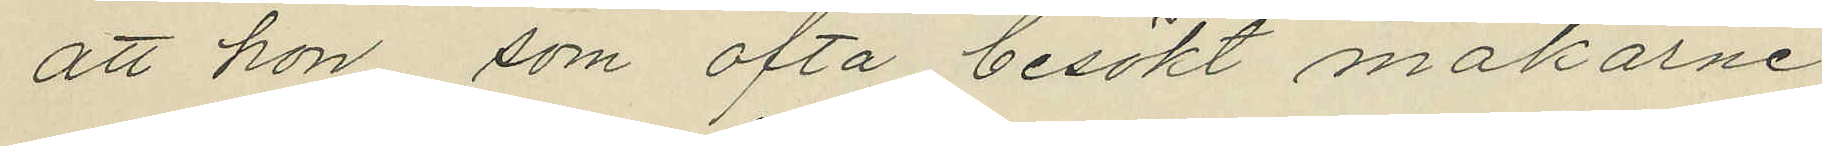att hon, som ofta besökt makarne
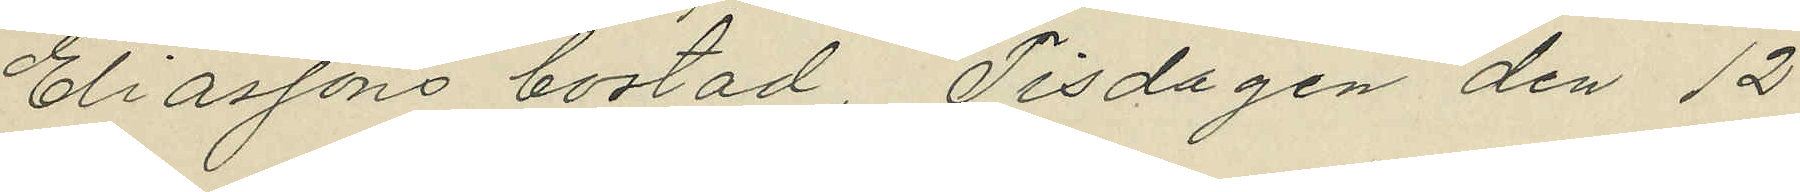Eliassons bostad, Tisdagen den 12
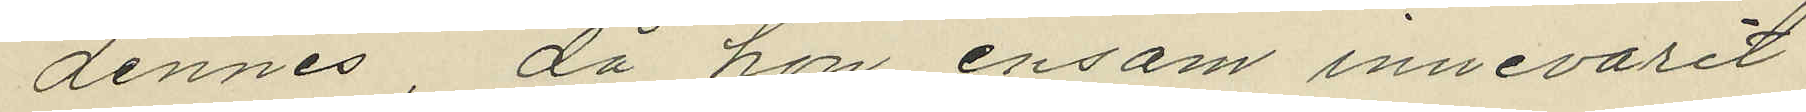dennes, då hon ensam innevarit
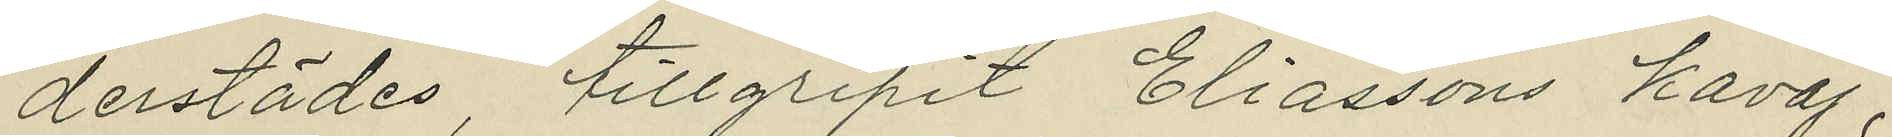derstädes, tillgripit Eliassons kavaj,
